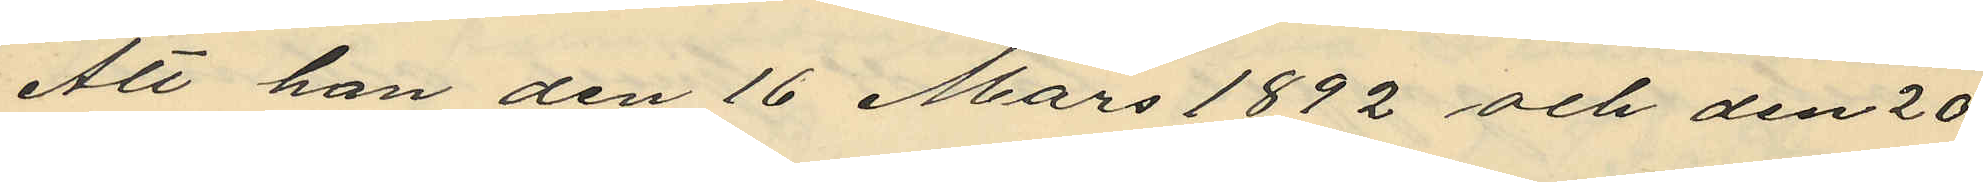Att han den 16 Mars 1892 och den 20
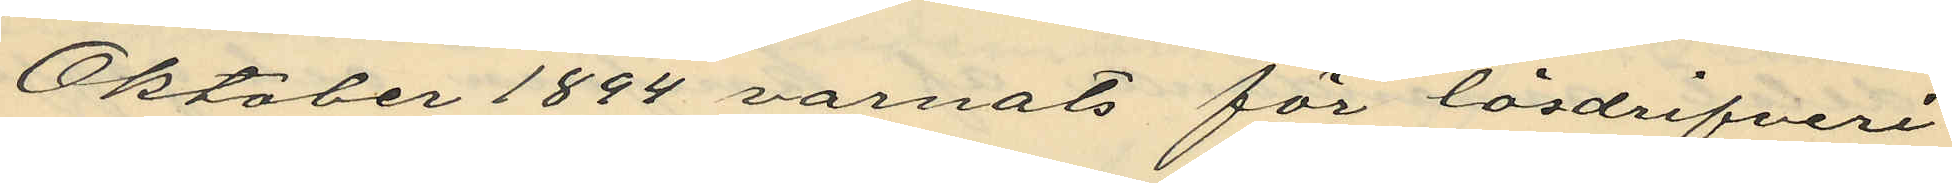Oktober 1894 varnats för lösdrifveri
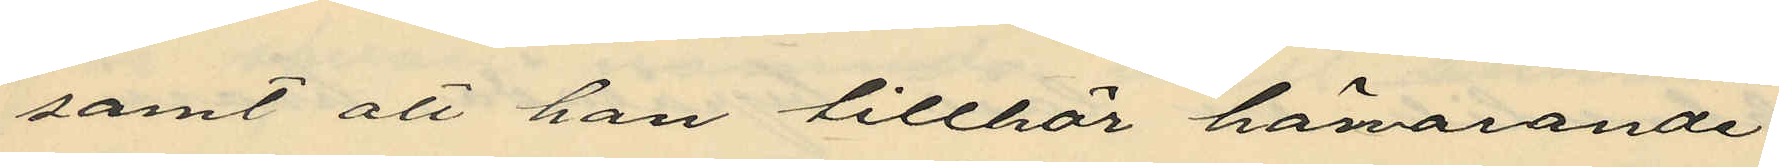samt att han tillhör härvarande
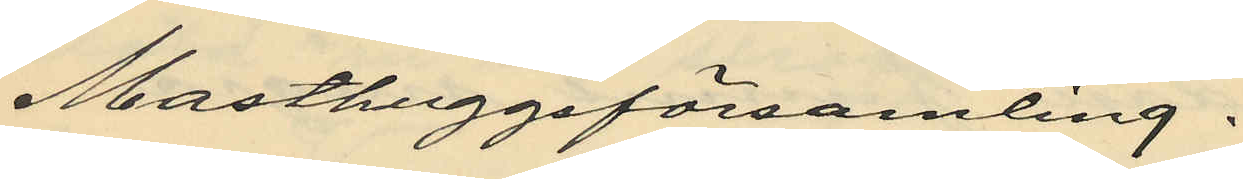Masthuggsförsamling.
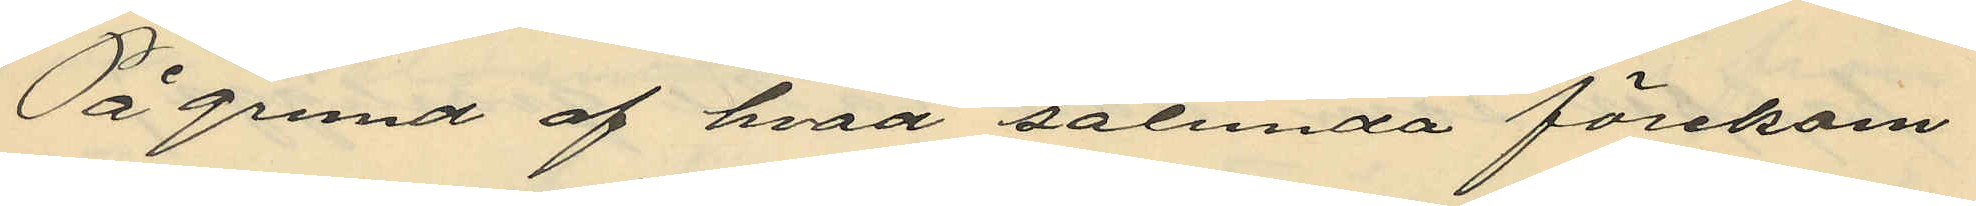På grund af hvad sålunda förekom¬
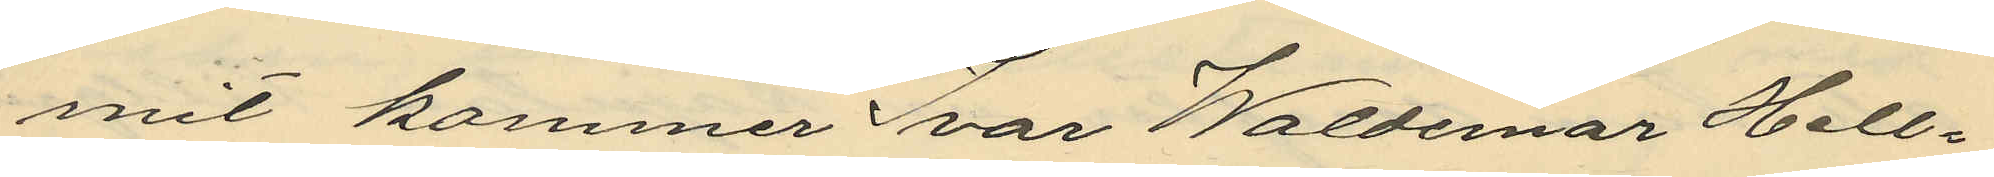mit kommer Ivar Waldemar Hell¬
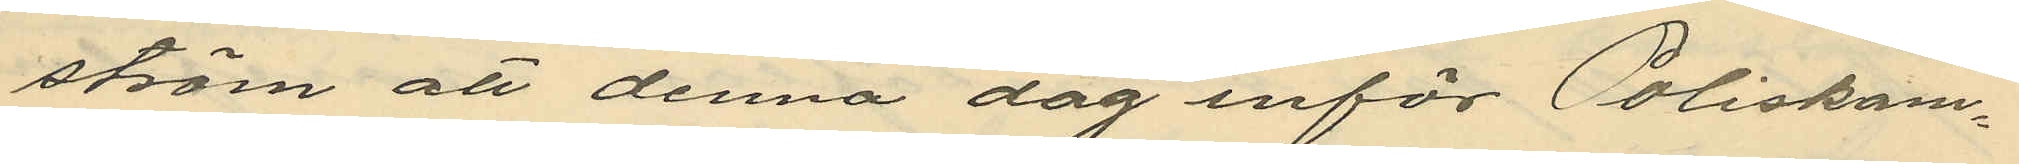ström att denna dag inför Poliskam¬
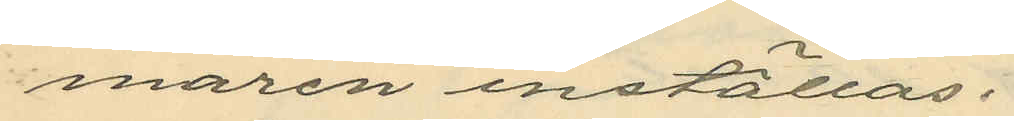maren inställas.
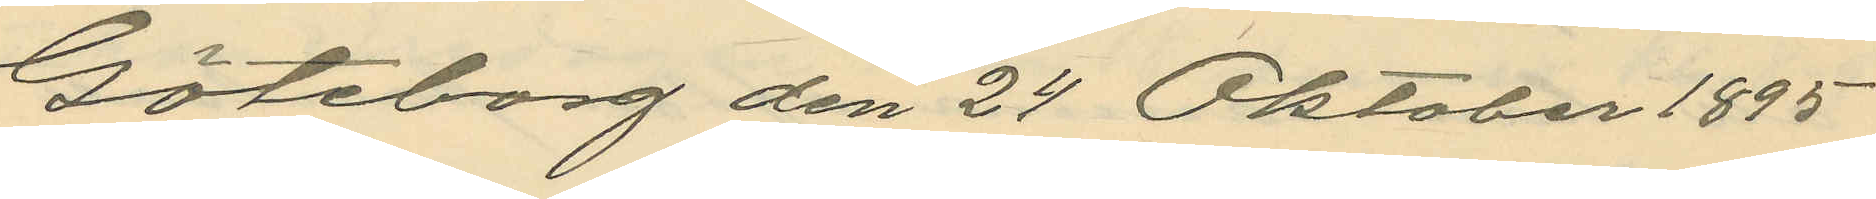Göteborg den 24 Oktober 1895
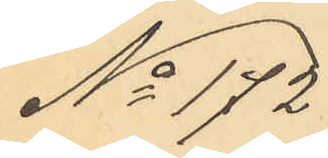No 172
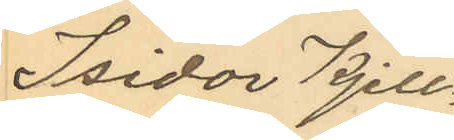Isidor Kjell¬
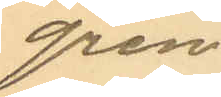gren
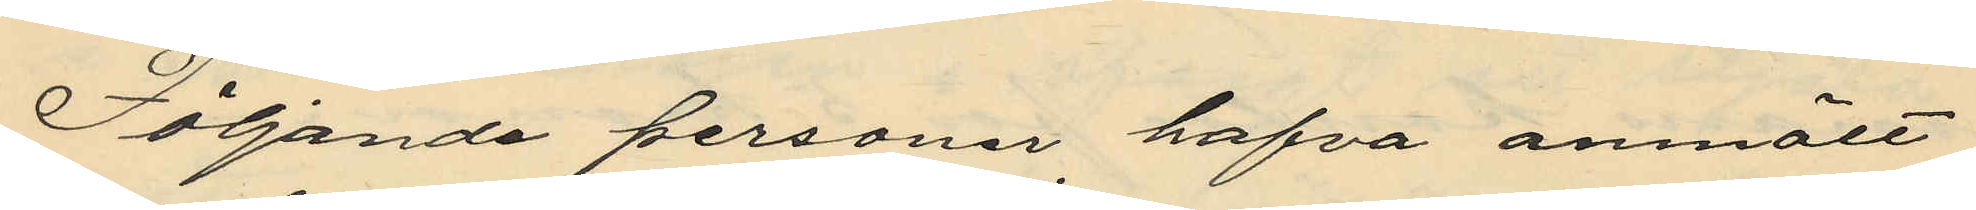Följande personer, hafva anmält
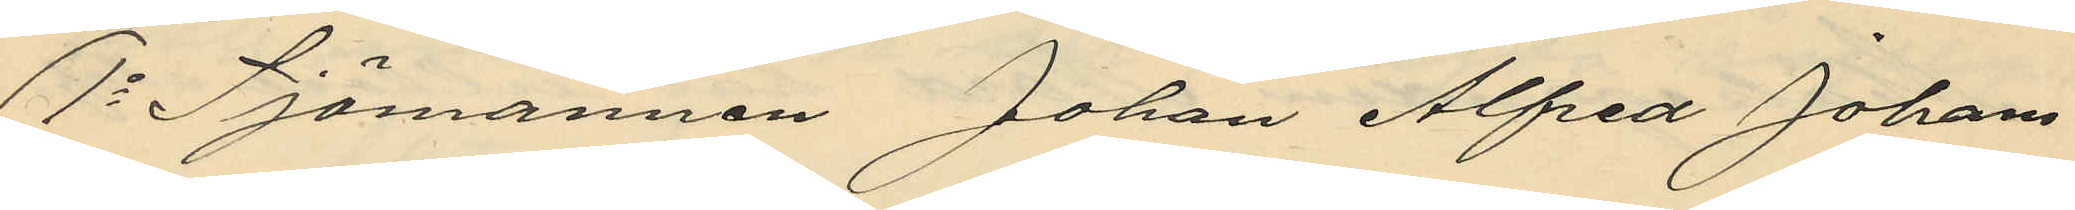1o Sjömannen Johan Alfred Johans¬
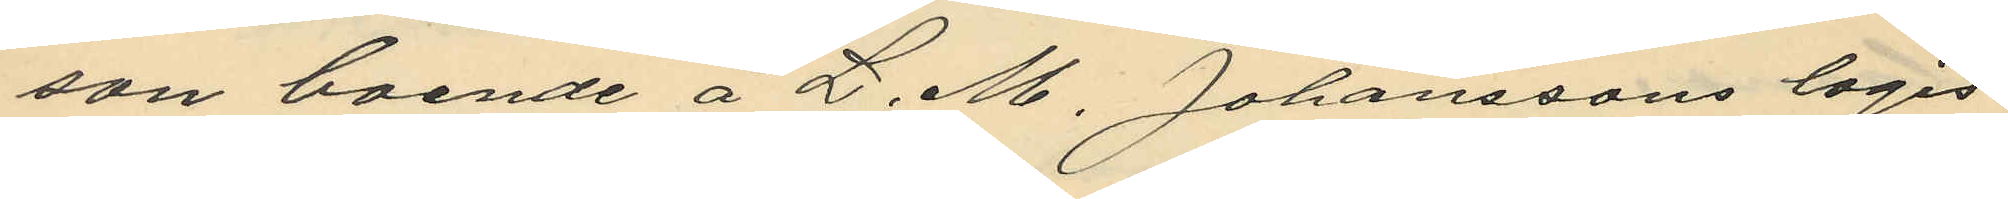son boende å L. M. Johanssons logis
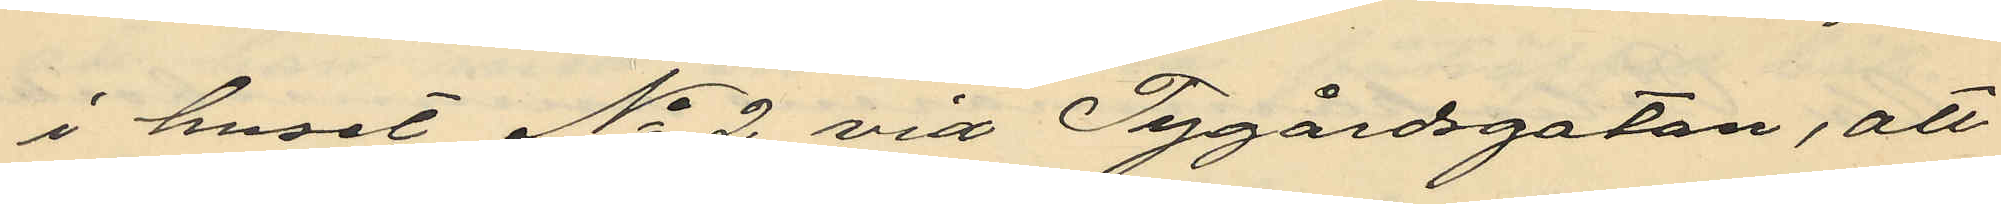i huset No 2 vid Tygårdsgatan, att
